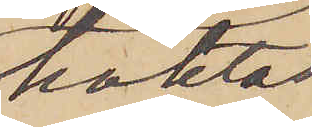häktas
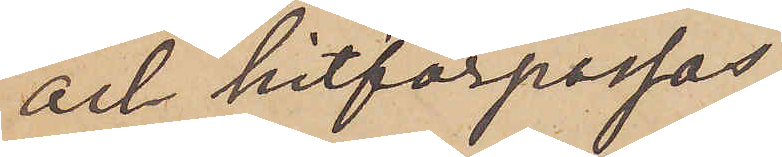och hitförpassas.
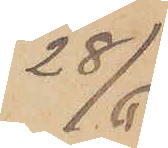28/6
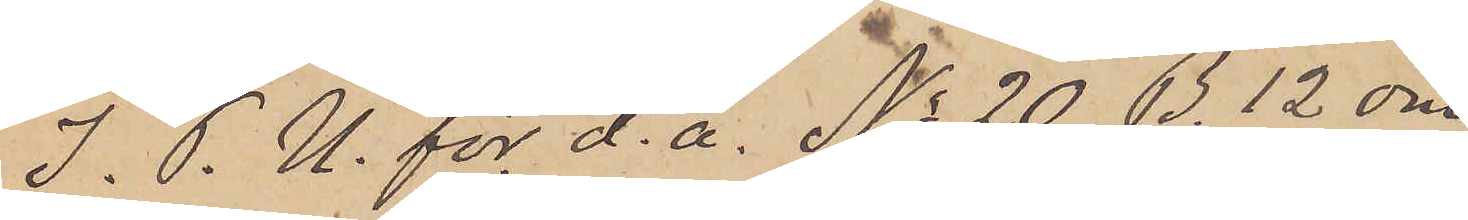I. P. U. för d. å. No 20. B. 12 om¬
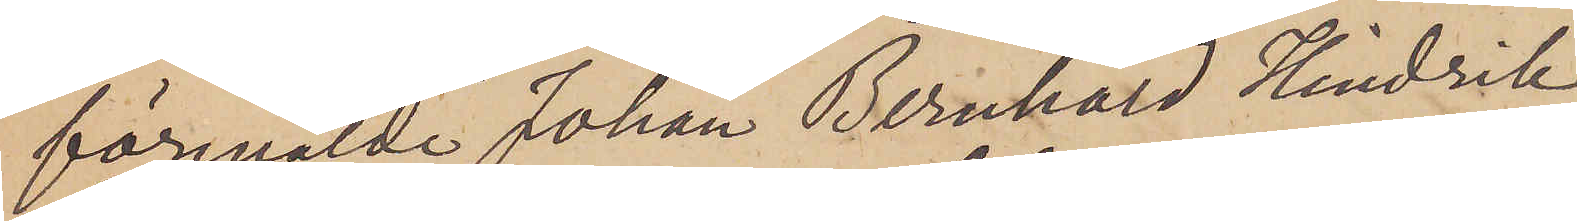förmälde Johan Bernhard Hindrik
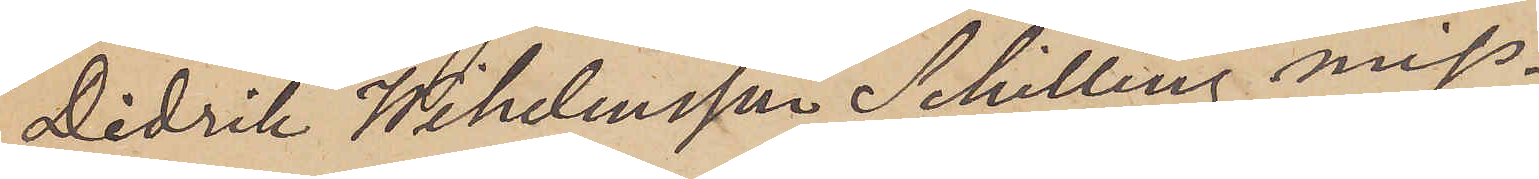Didrik Wihelmsson Schilling miss¬
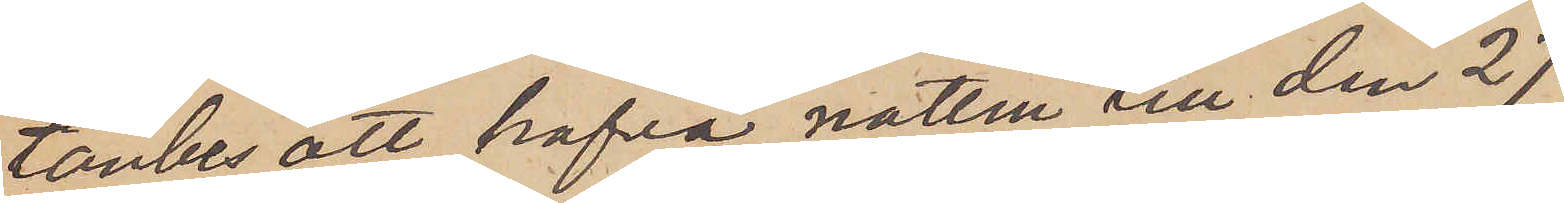tänkes att hafva natten till den 27
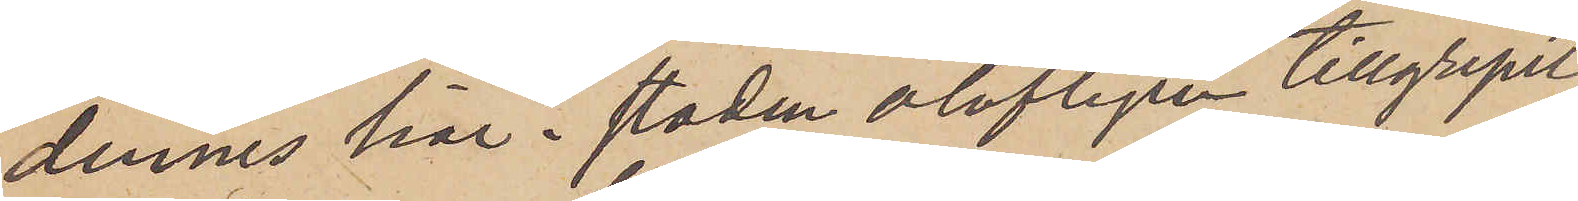dennes här i staden olofligen tillgripit
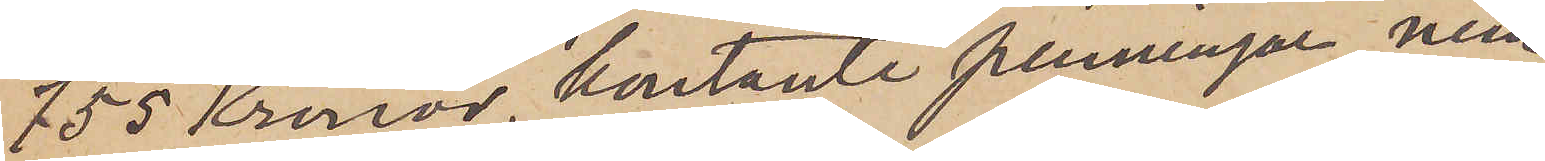755 Kronor, kontante penningar, nem¬
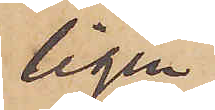ligen
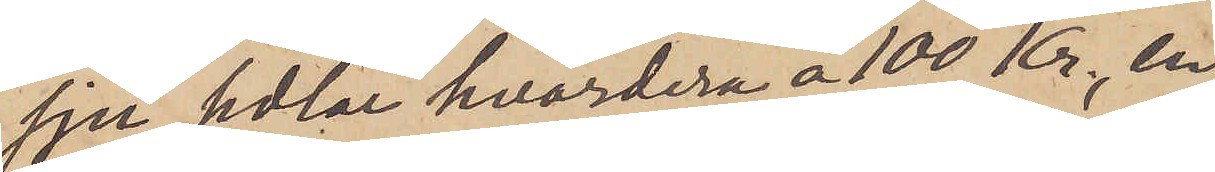sju sedlar hvardera á 100 kr, en
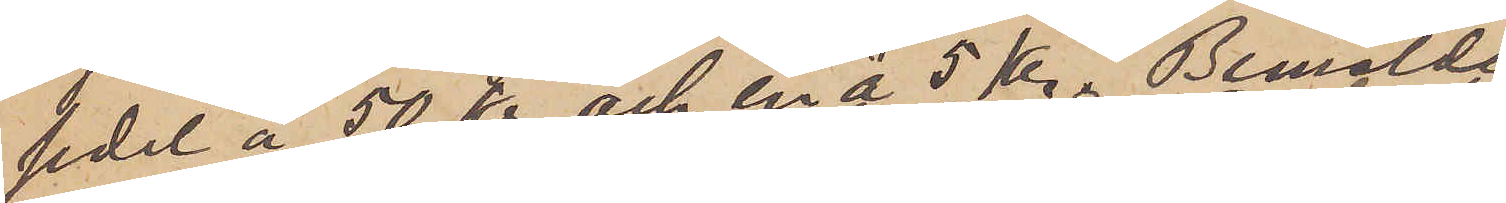sedel á 50 kr och en á 5 kr. Bemälde
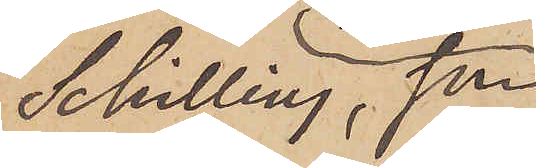Schilling, som
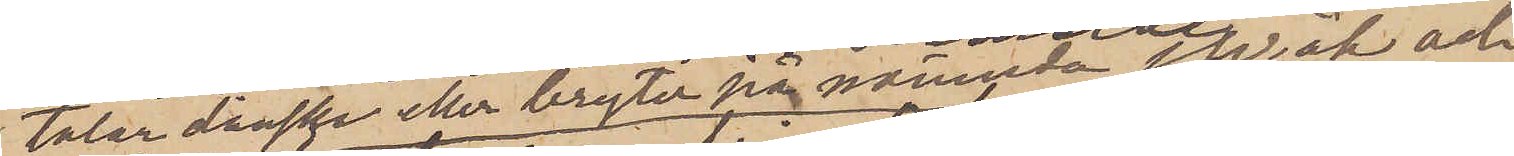talar danska eller bryter på nämnda språk och
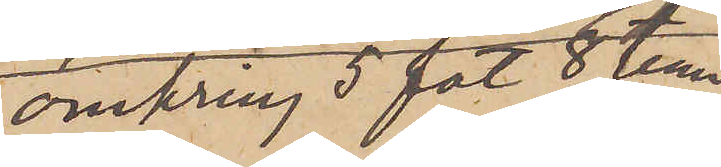omkring 5 fot 8 tumm
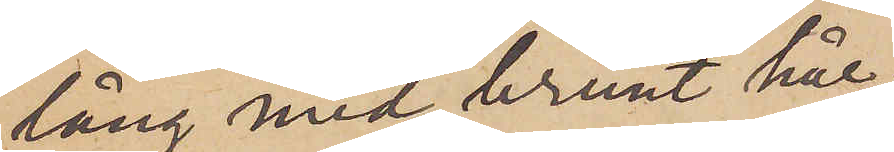lång med brunt hår,
